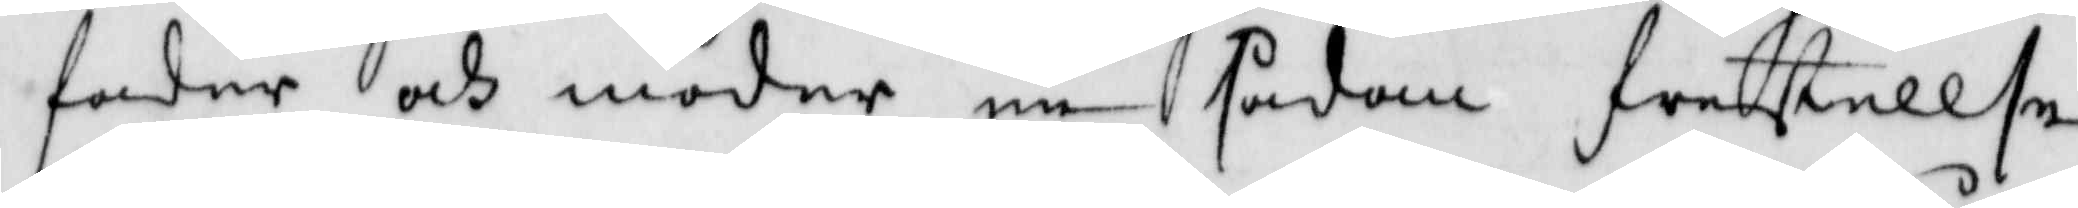fadren och moder en sådan frestellse
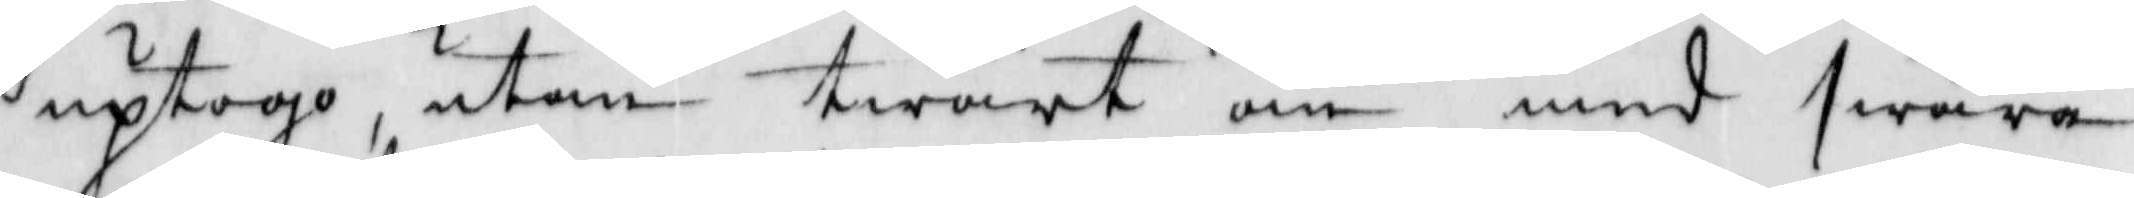uptogo, utan twärt om med swåra
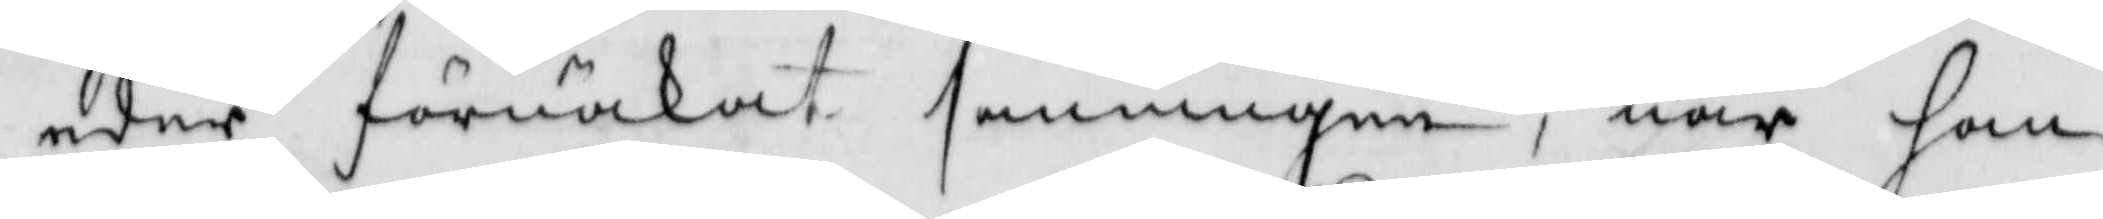eder förnäkat sanningen, när han
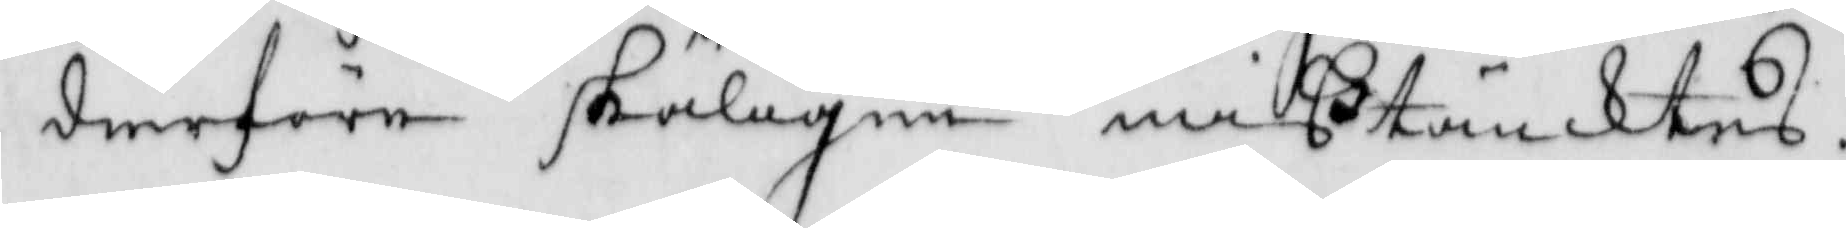derföre skäligen mißtänktes.
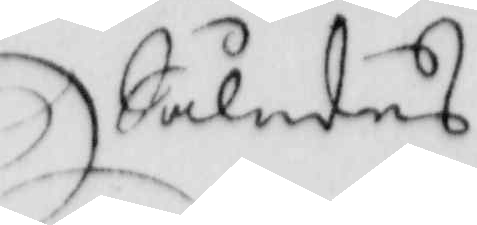Således
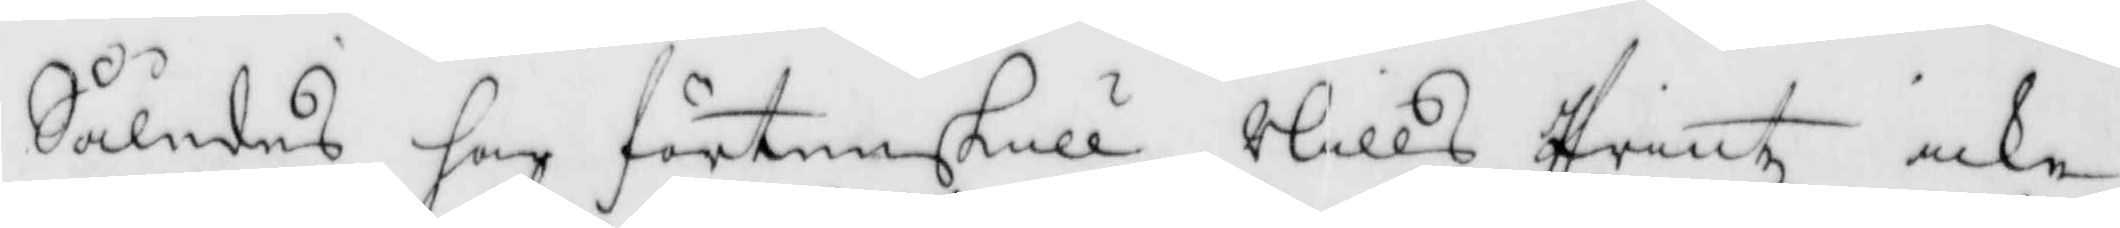Således har förtenskull Nills Printz icke
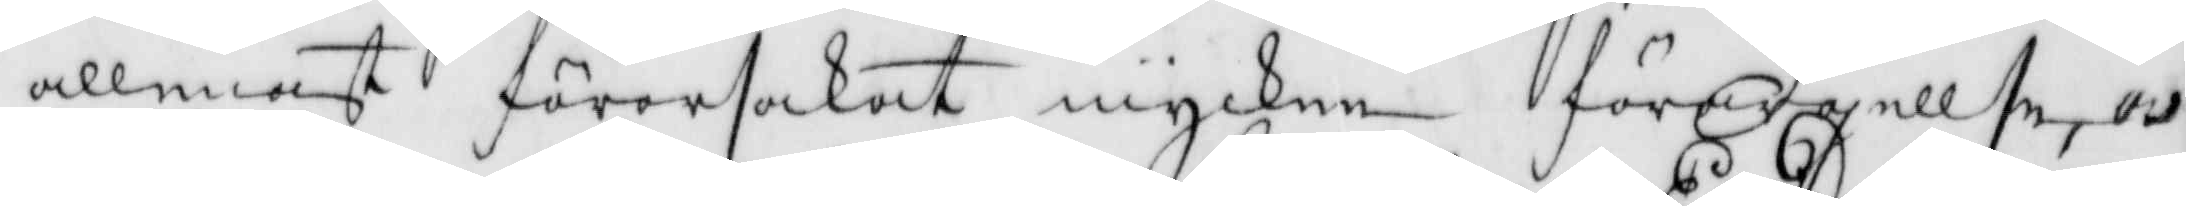allenast förorsakat mycken förargellse, och
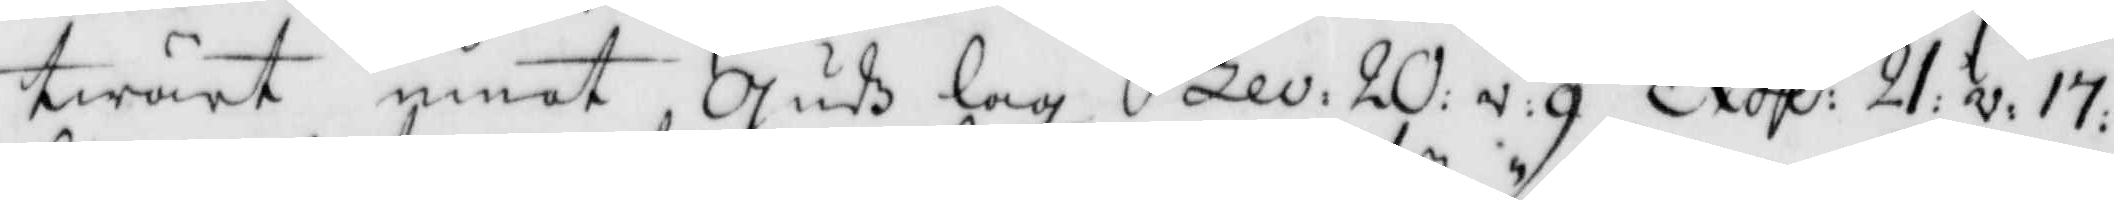twärt emot Gudz lag Lev: 20: v:g Exod: 21: v: 17:
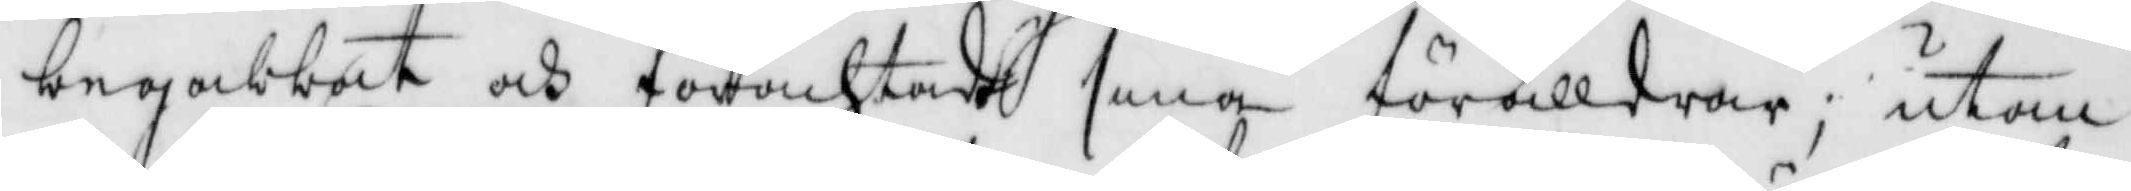begabbat och förachtadt sina förälldrar; utom
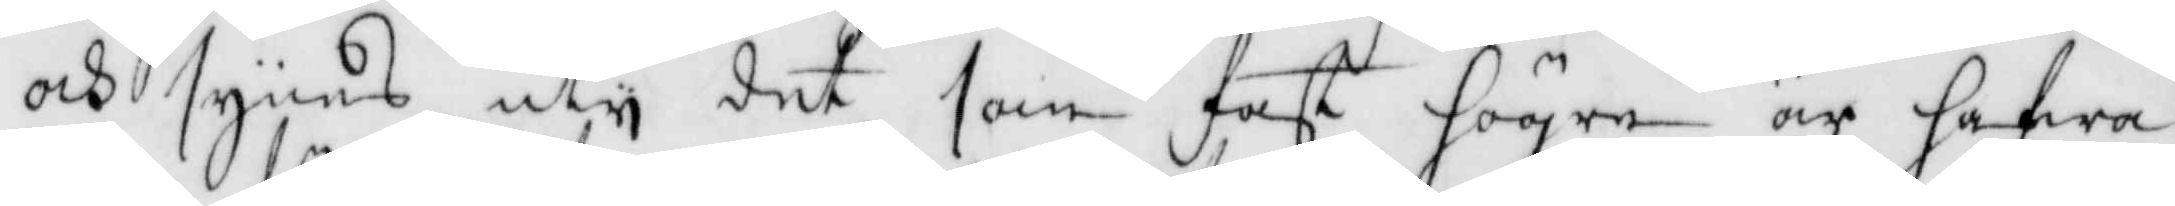och syndes uty det som fast hgre ar hafwa
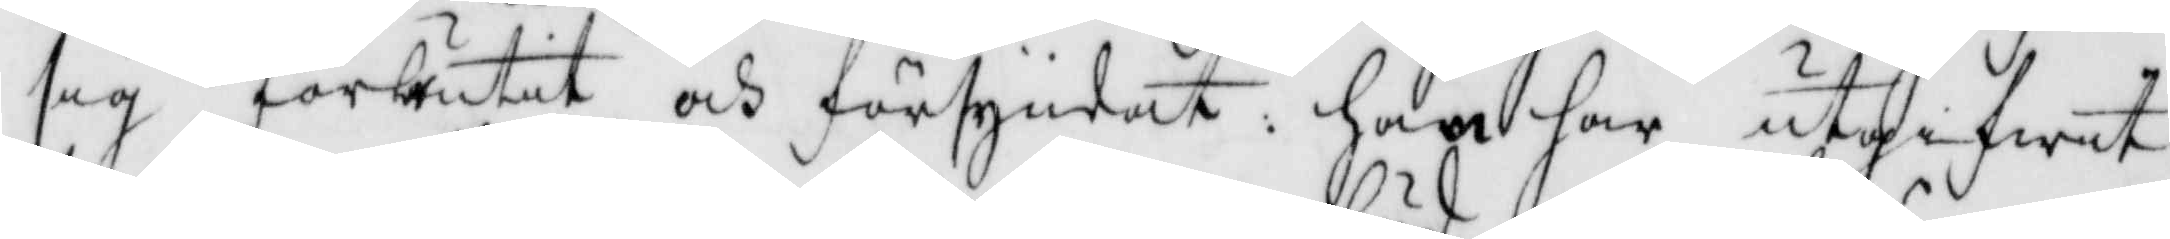sig förbrutit och försyndat; han har utgifwit
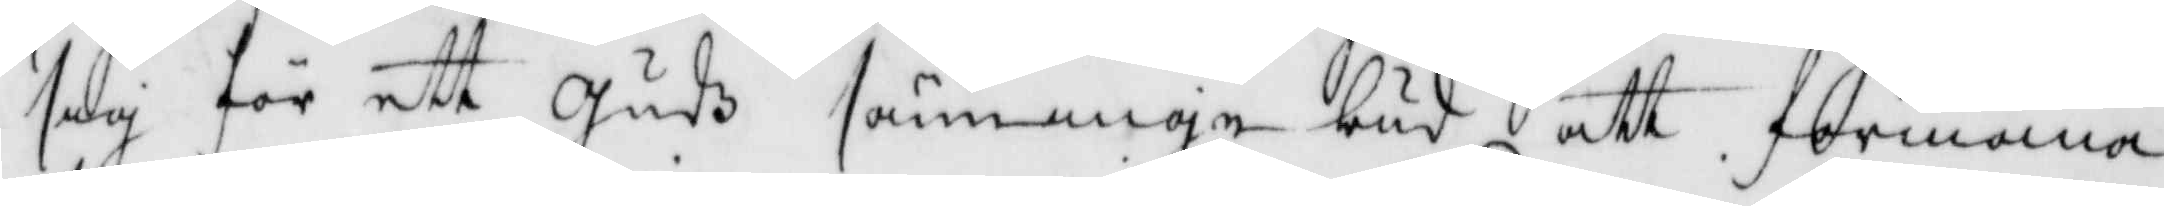sig för ett Gudz säminge bud att förmana
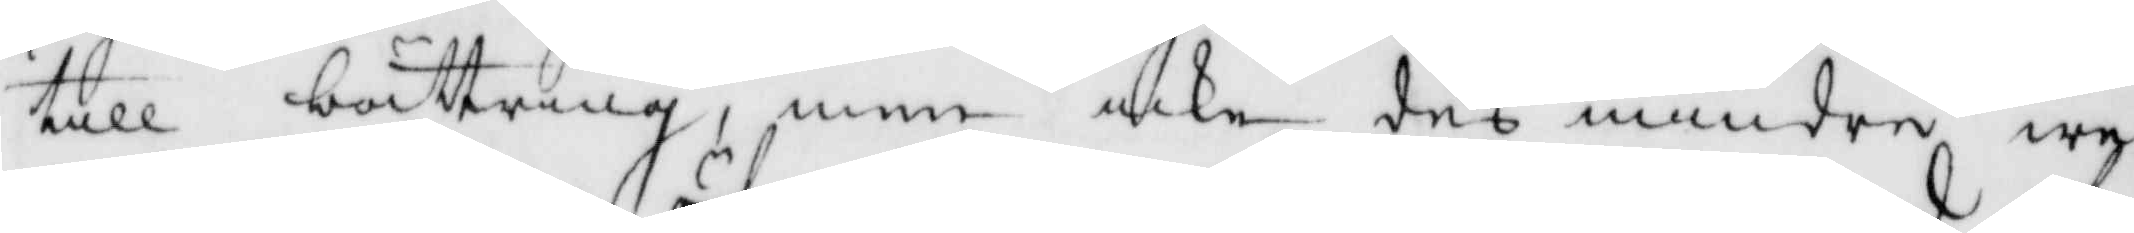till bättring, men icke des mindre we¬
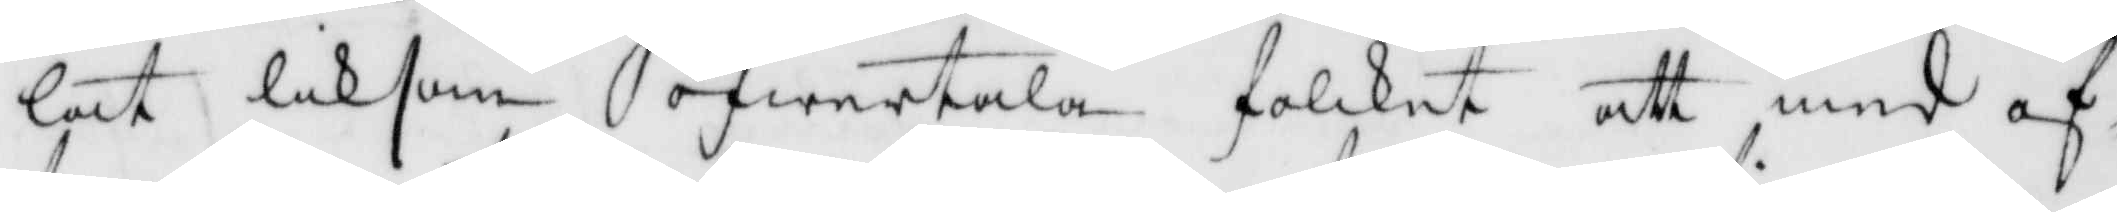lat liksom öfwertala folcket att med of¬
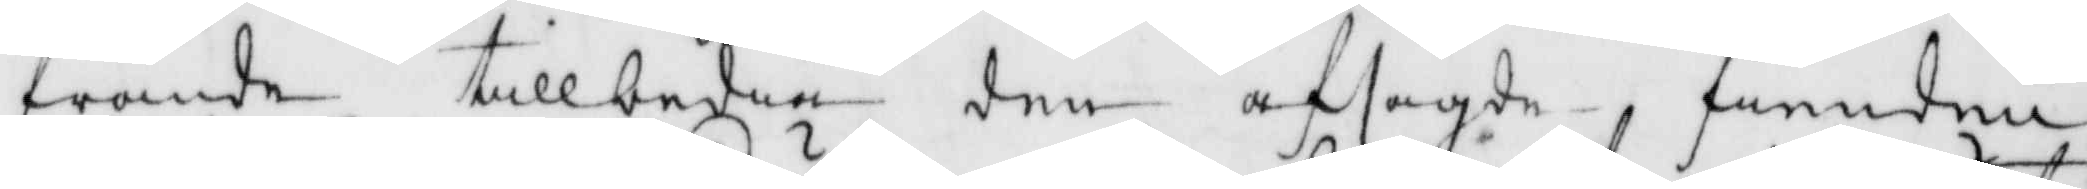frande tillbedia den afsagde fienden
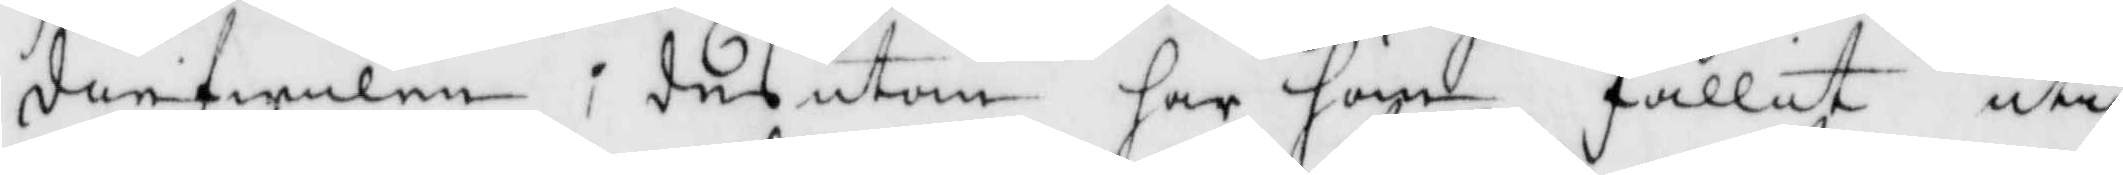diefwulen; dessutan har han fallit uti
